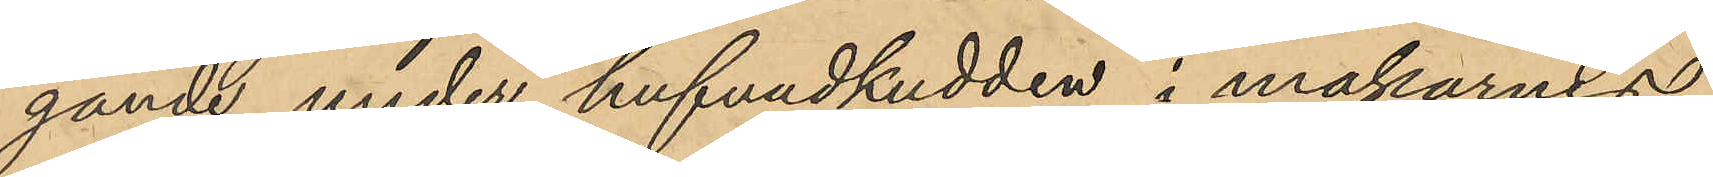gande under hufvudkudden i makarnes
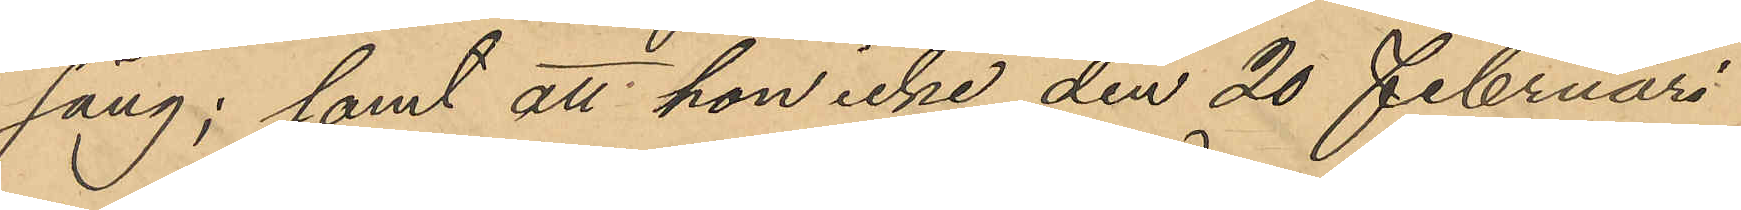säng; samt att hon icke den 20 Februari
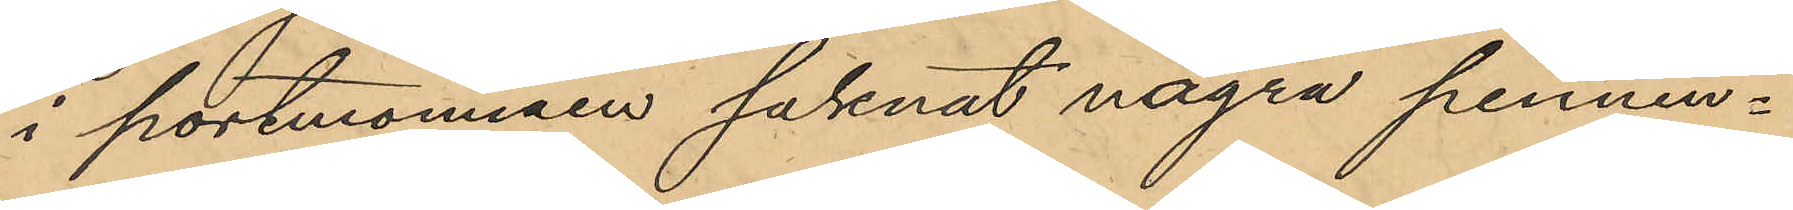i portmonnäen saknat några pennin¬
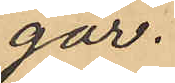gar.
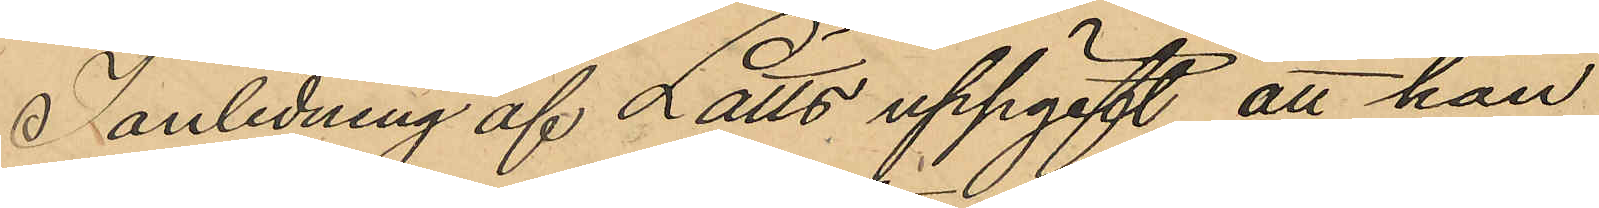I anledning af Lätts uppgift att han
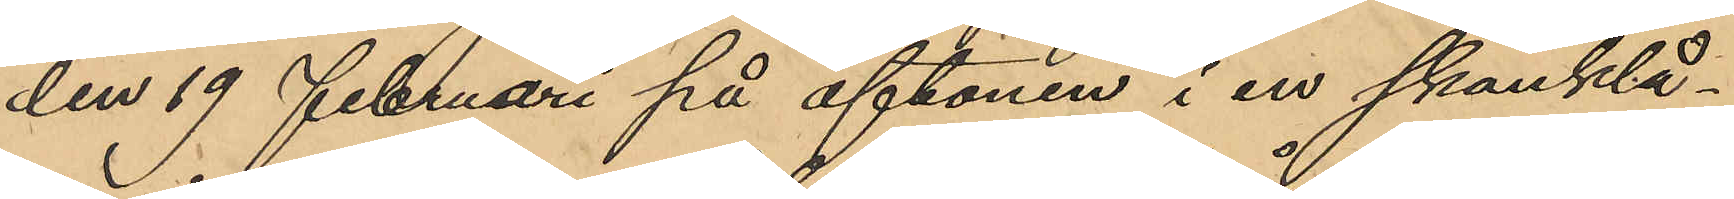den 19 Februari på aftonen i en skänklå¬
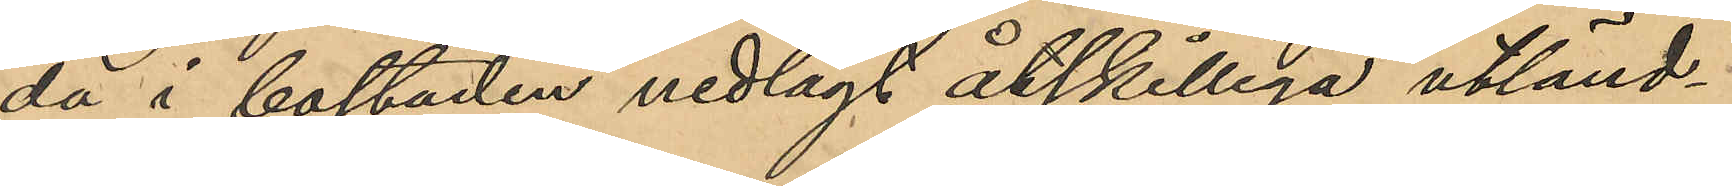da i bostaden nedlagt åtskilliga utländ¬
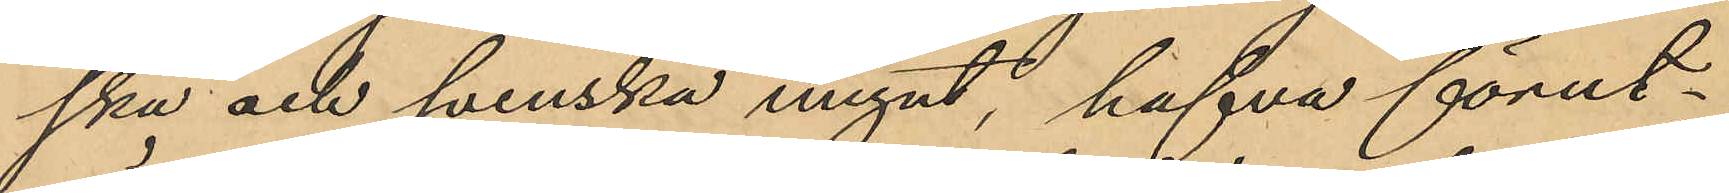ska och svenska mynt, hafva förut¬
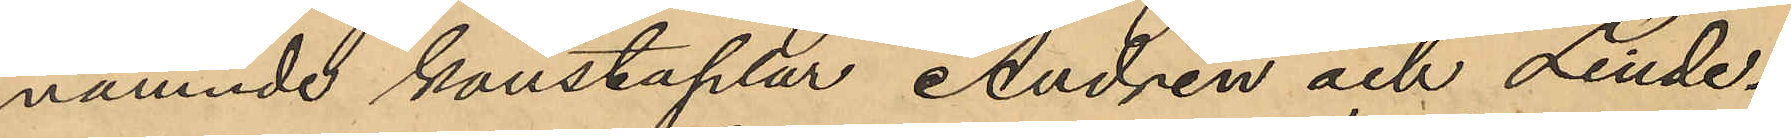nämnde konstaplar Andrén och Linde¬
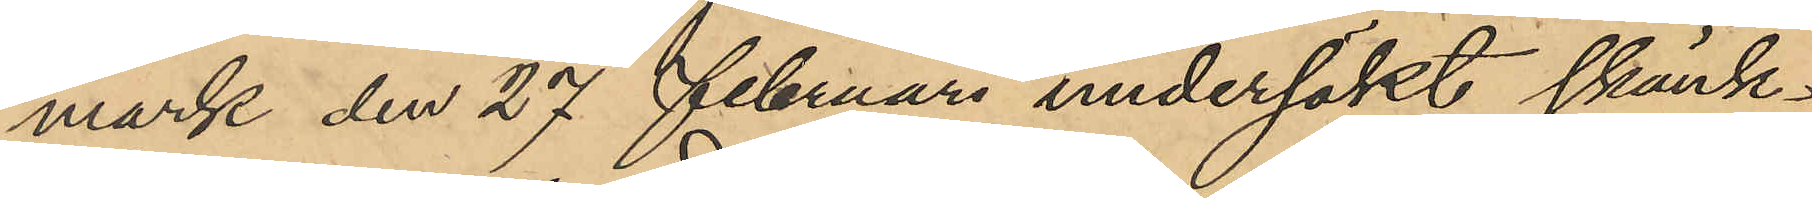mark den 27 Februari undersökt skänk¬
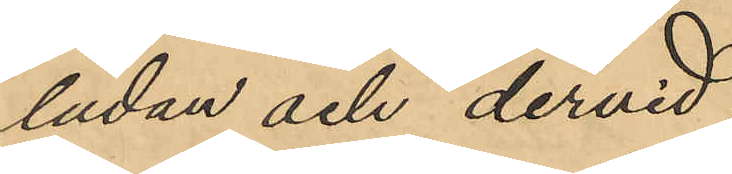lådan och dervid
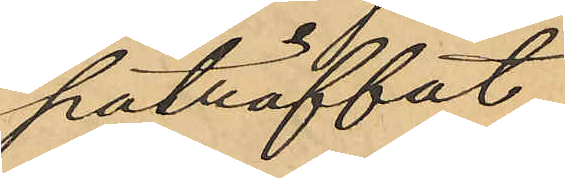påträffat
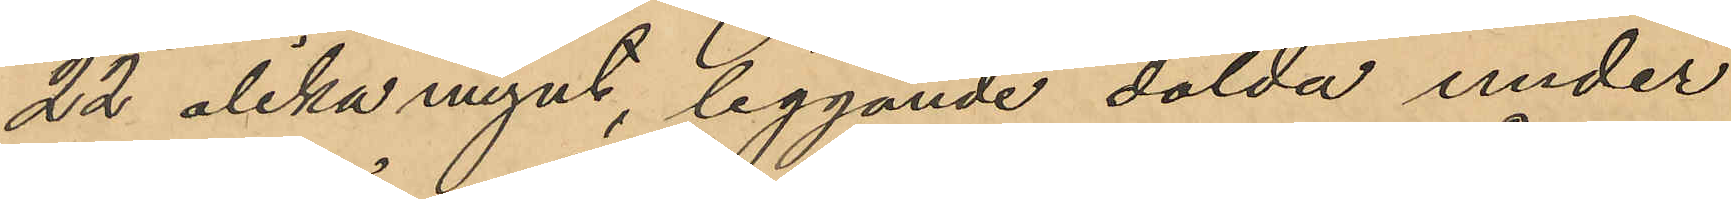22 olika mynt, liggande dolda under
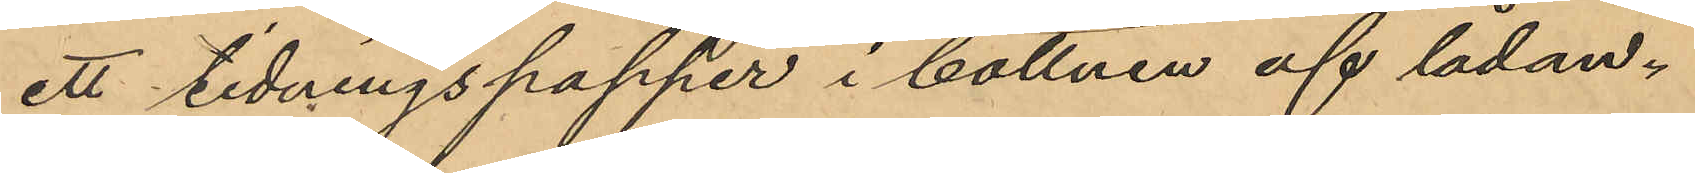ett tidningspapper i bottnen af lådan;
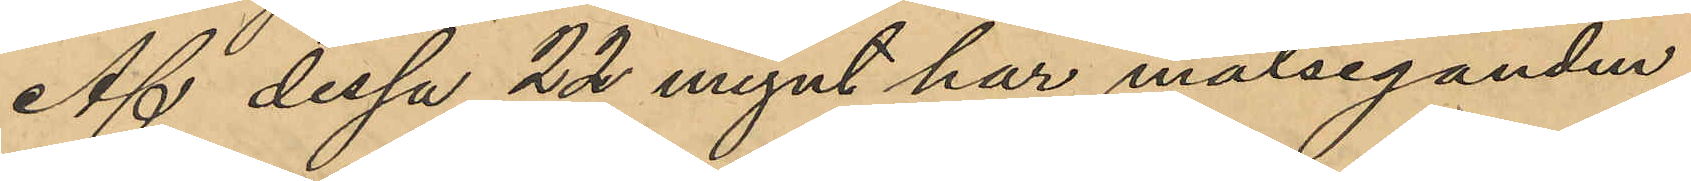Af dessa 22 mynt har målseganden
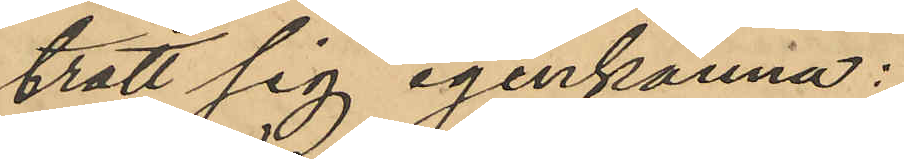trott sig igenkänna:
